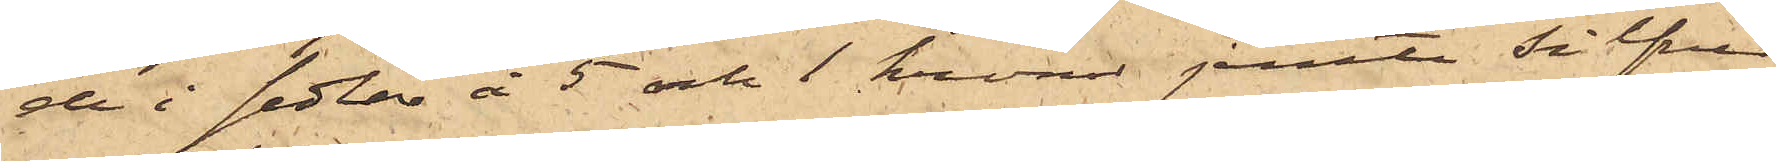de i sedlar å 5 och 1 kronor jemte silfver
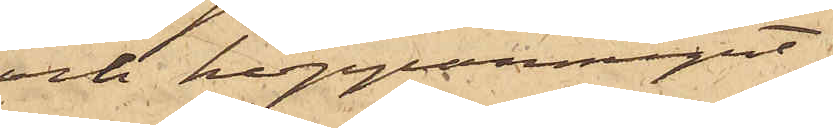och kopparmynt;
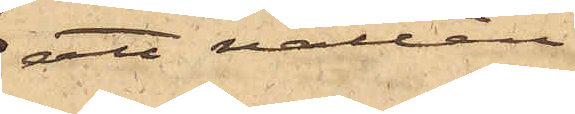att natten
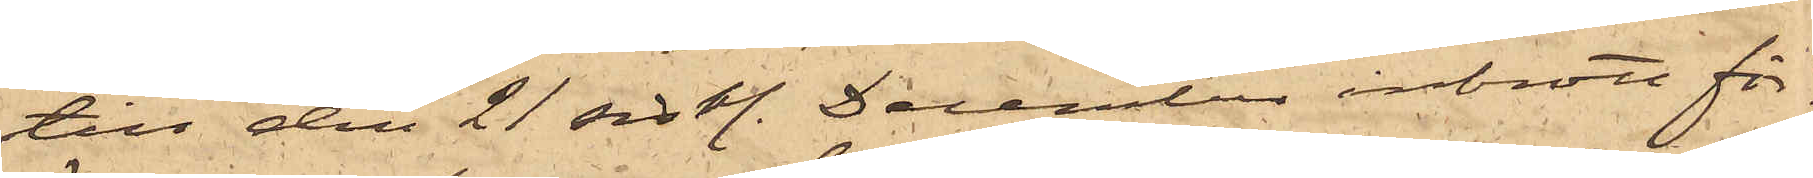till den 21 sistl. December inbrott för¬
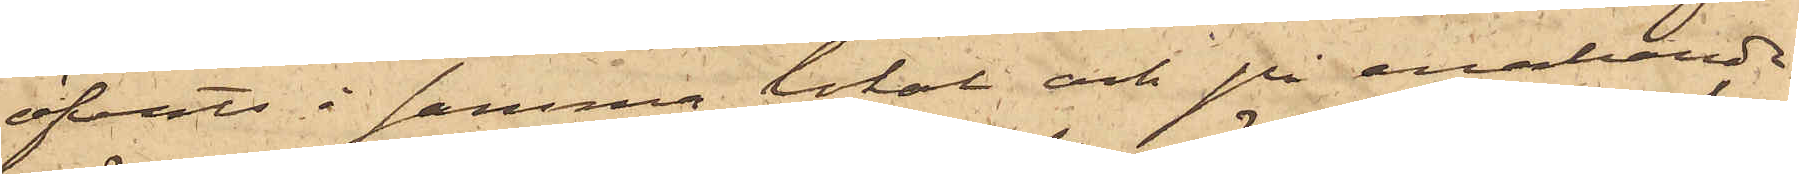öfvats i samma lokal och på enahanda
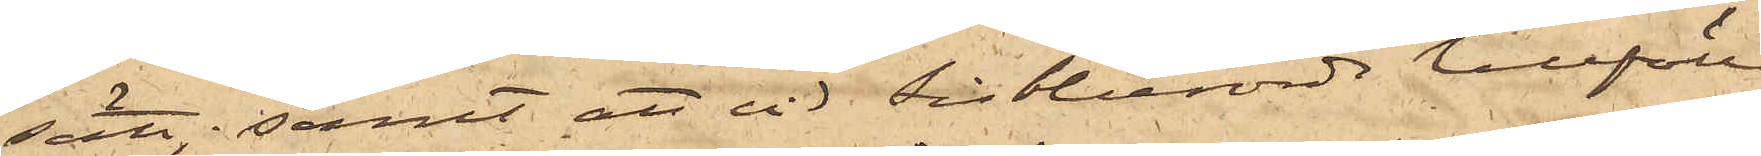sätt; samt att vid sistberörde tillfälle
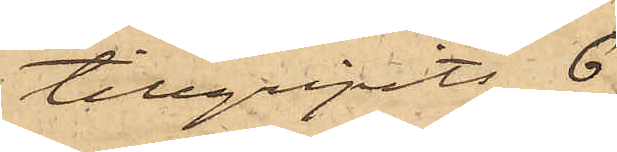tillgripits 6
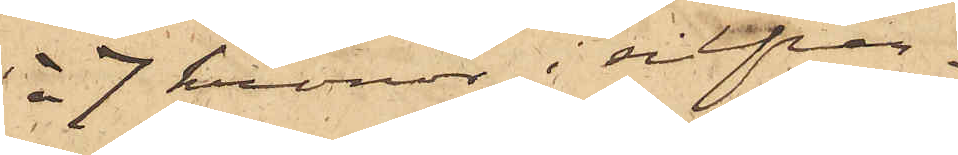à 7 kronor i silfver¬
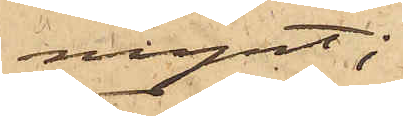mynt;
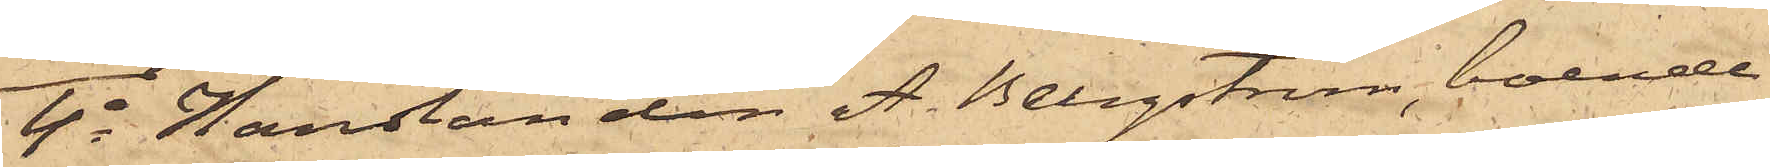4o Handlanden A. Bergström, boende
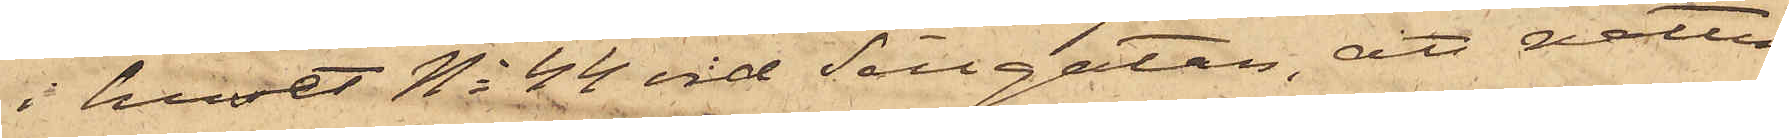i huset No 44 vid Sillgatan, att natten
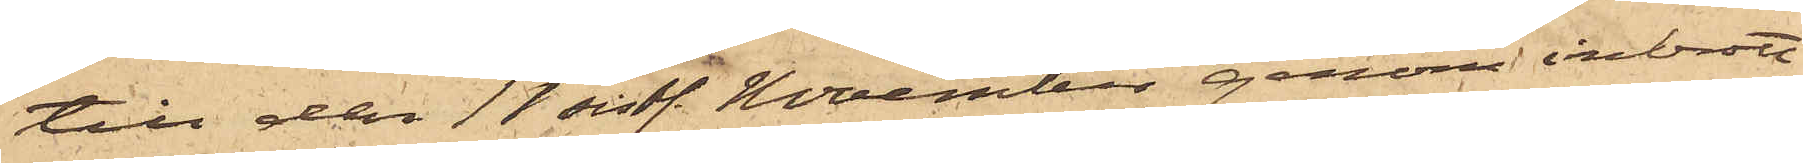till den 11 sistl. November genom inbrott
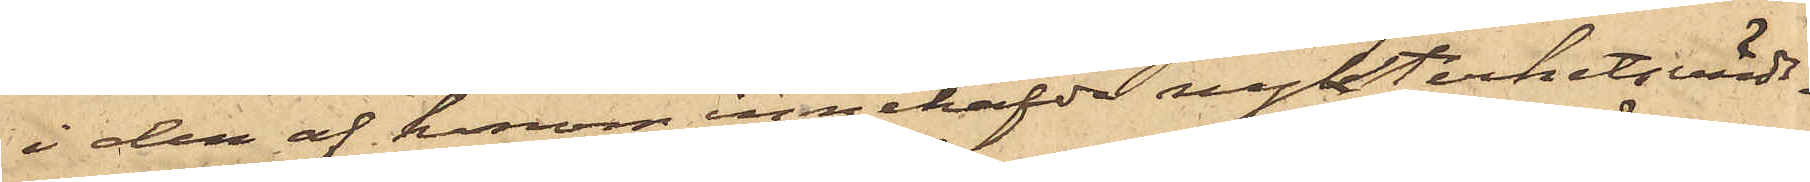i den af honom innehafde nykterhetsvärds¬
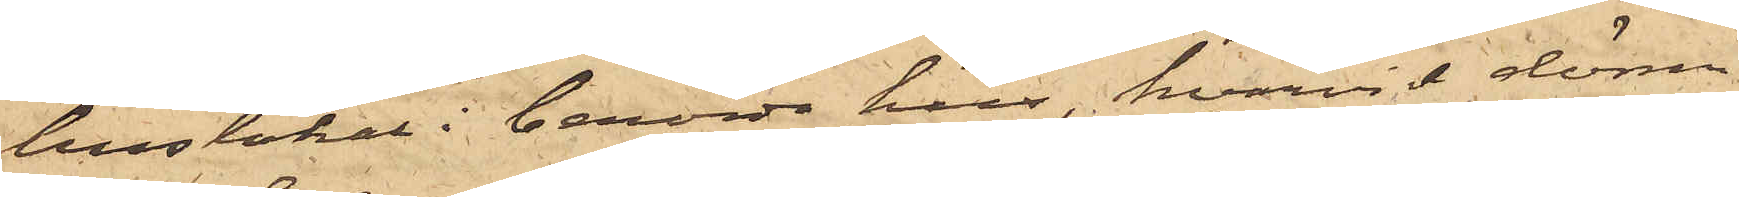huslokal i berörde hus, hvarvid dörren
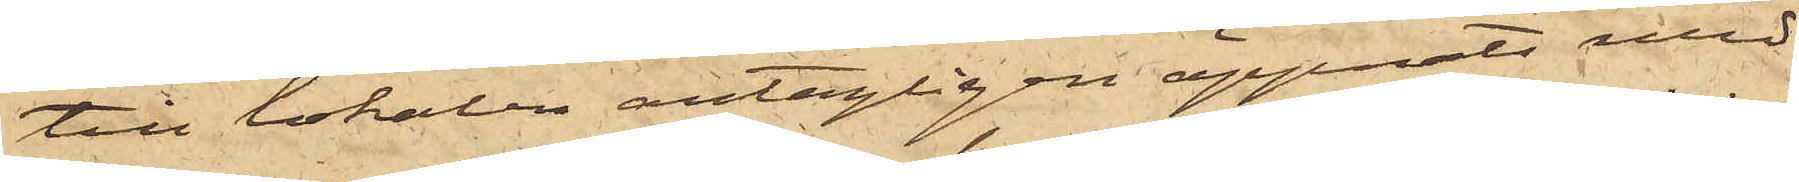till lokalen antagligen öppnats med
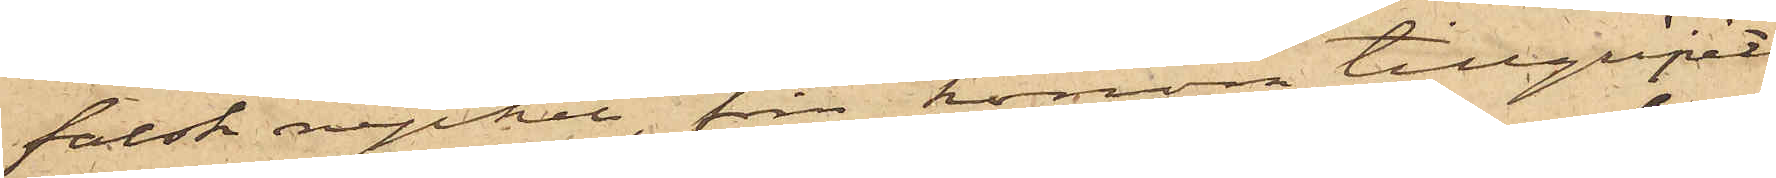falsk nyckel, från honom tillgripits
